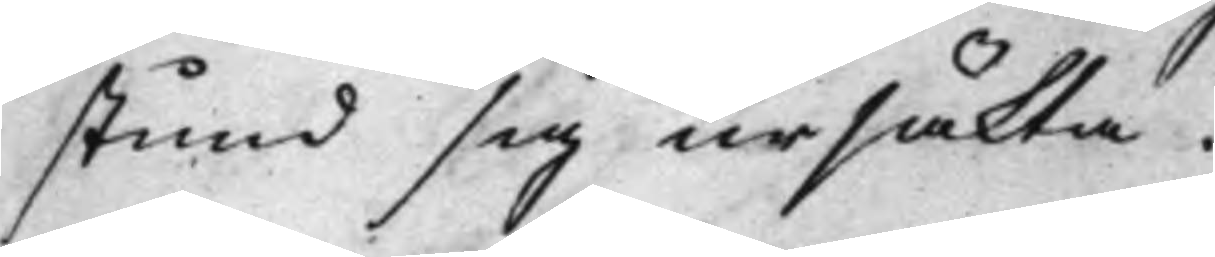stund sig ursäkta.
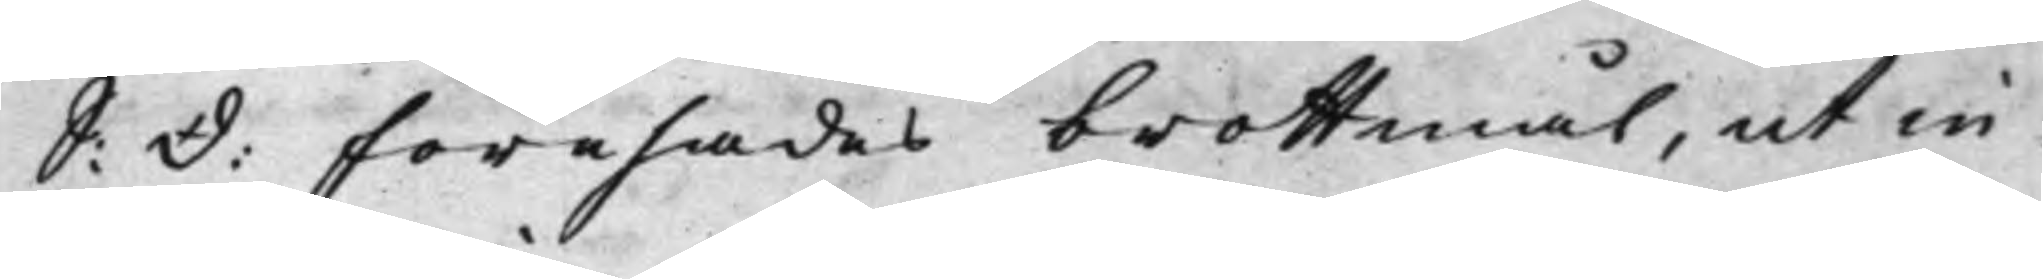S: d: förehades brottmål, ut in:
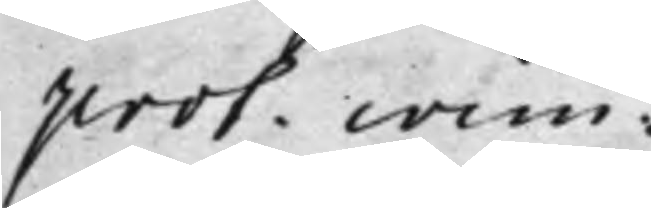prot. crim:
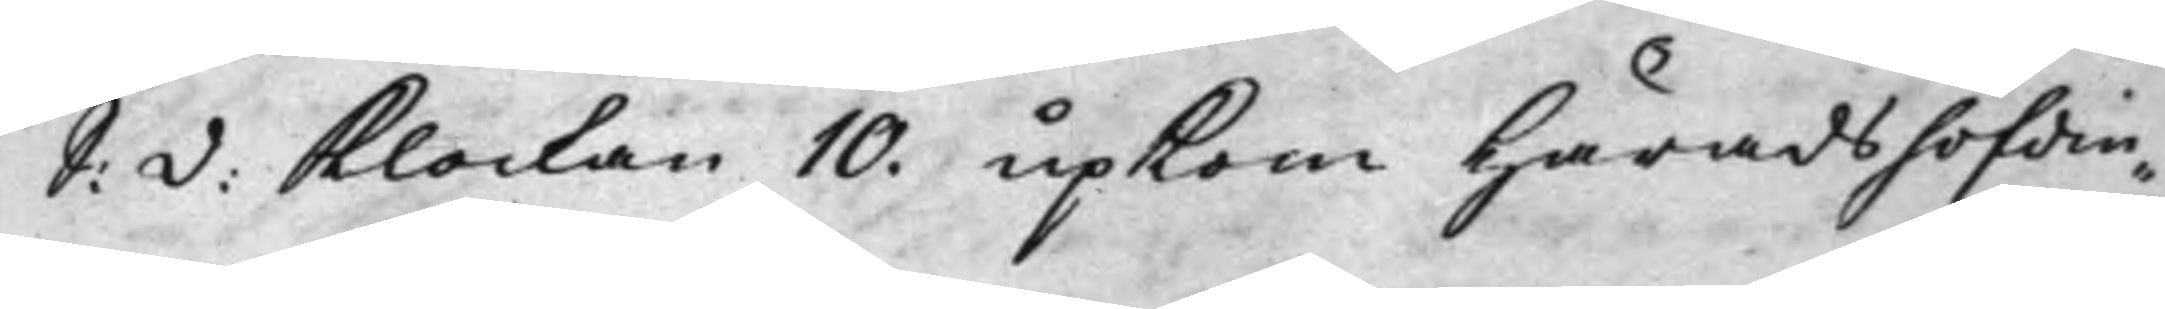S: d: Klockan 10. upKom Häradshöfdin¬
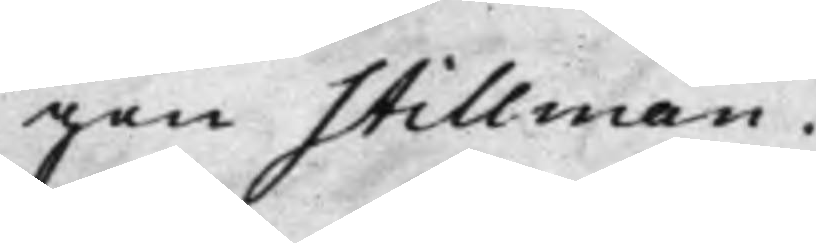gen Stillman.
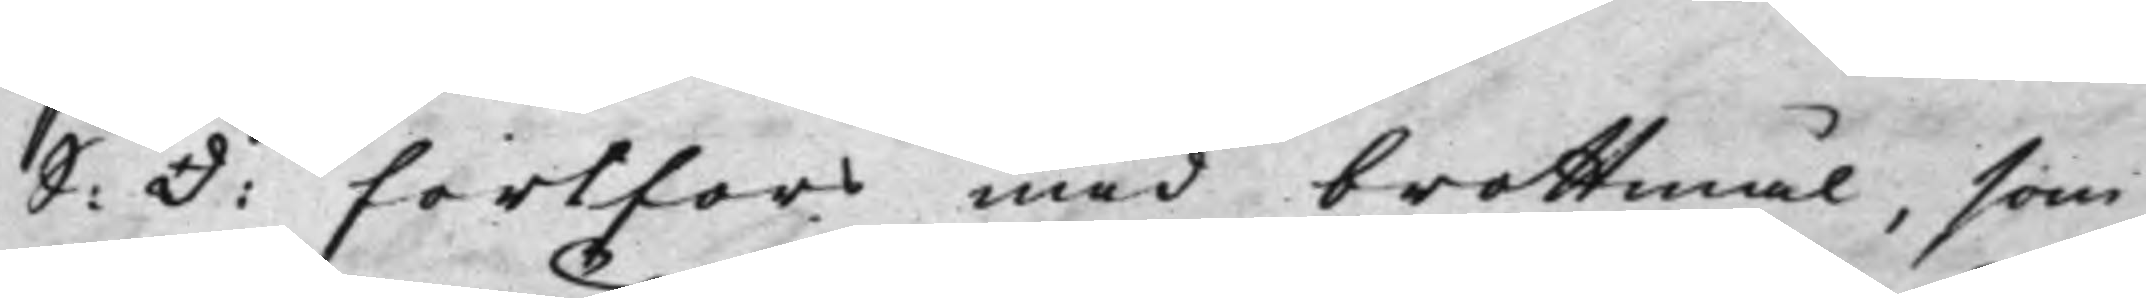S: d: fortfors med brottmål, som
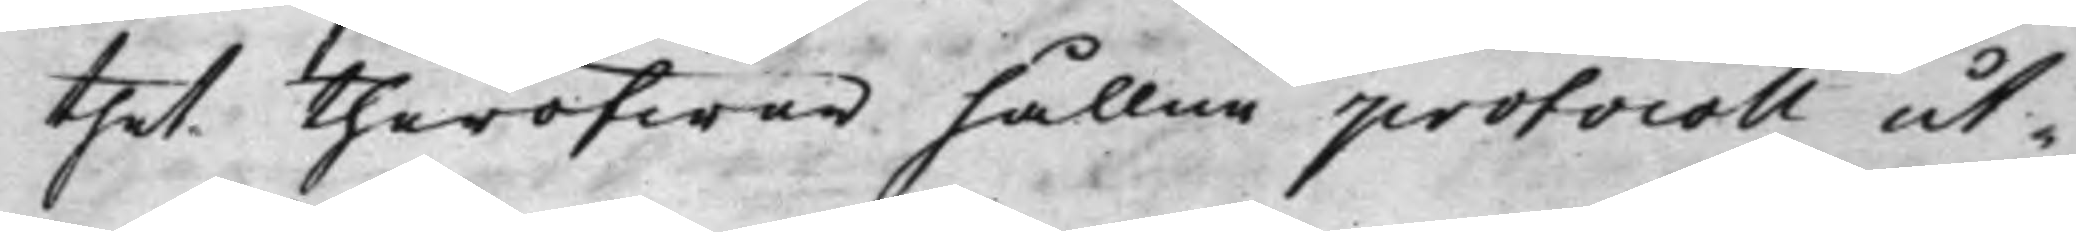thet theröfwer hållne protocoll ut¬
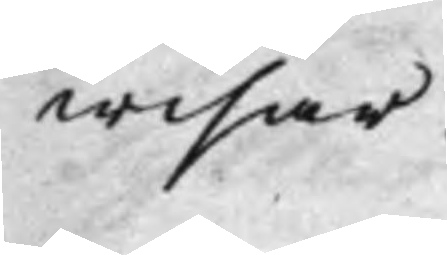wisar.
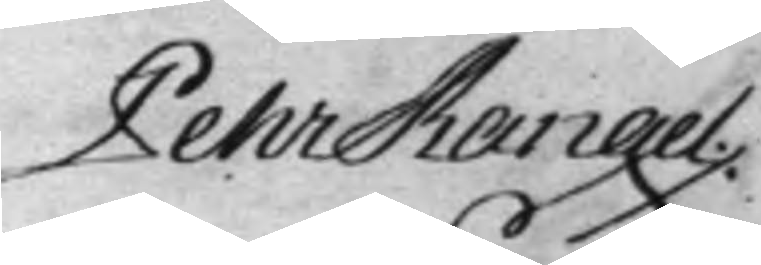Pehr Rangel.
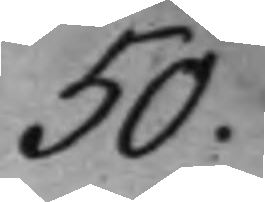50.
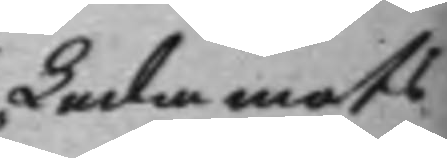Ledamots
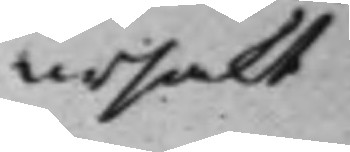ursakt
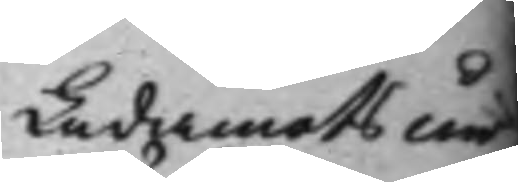Ledamots ur¬
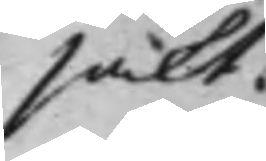säkt.
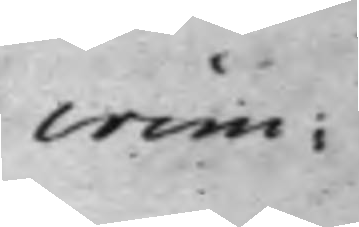crim:
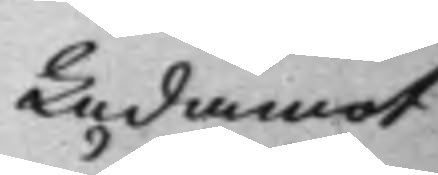Ledamot
